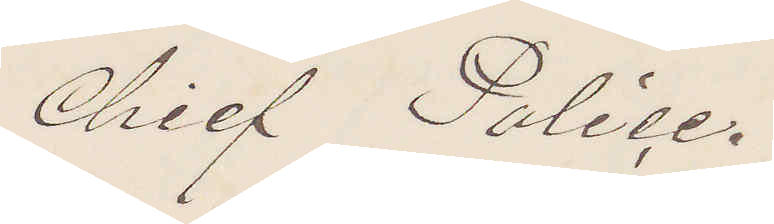Chief Police.
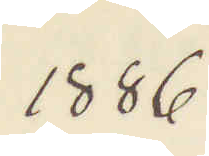1886.
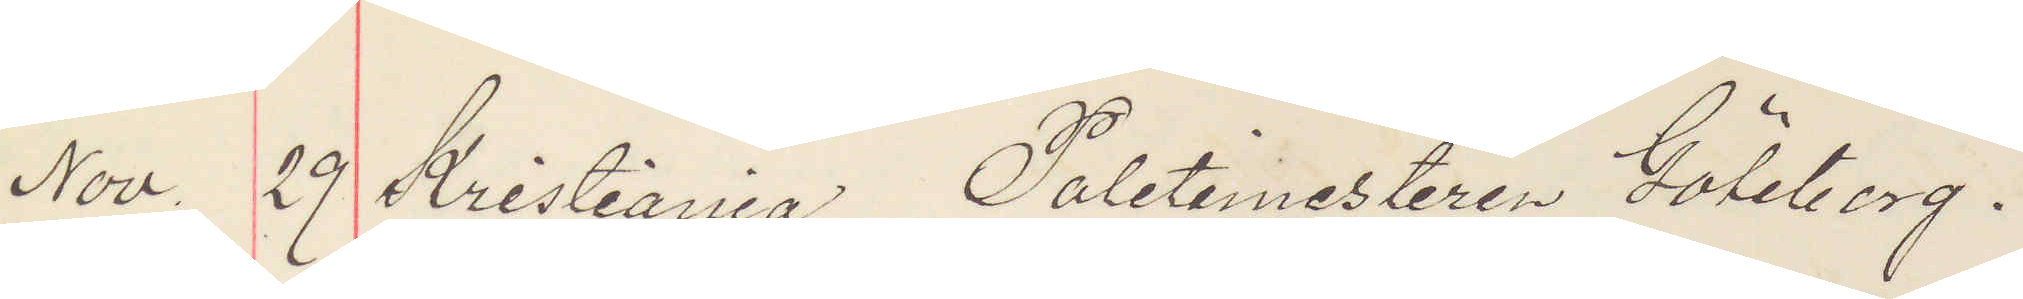Nov. 29 Kristiania, Poletimesteren Göteborg.
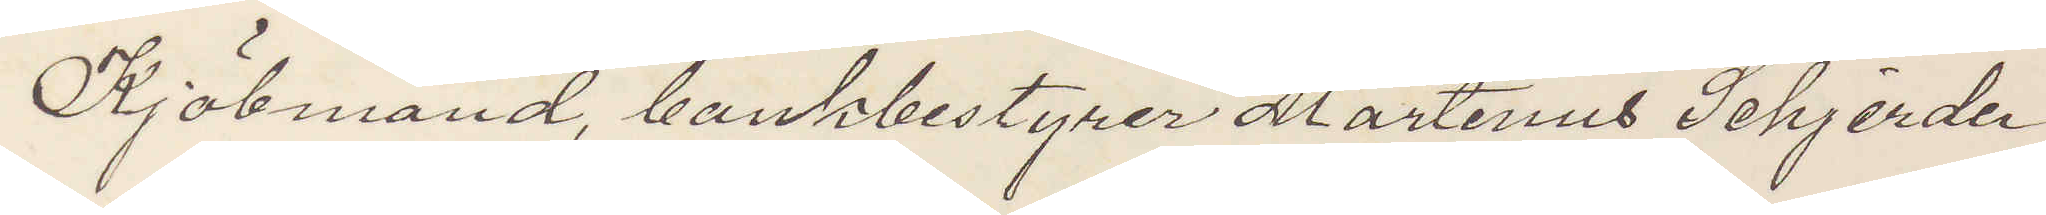Kjöbmand, bankbestyrer Martinus Schjerder
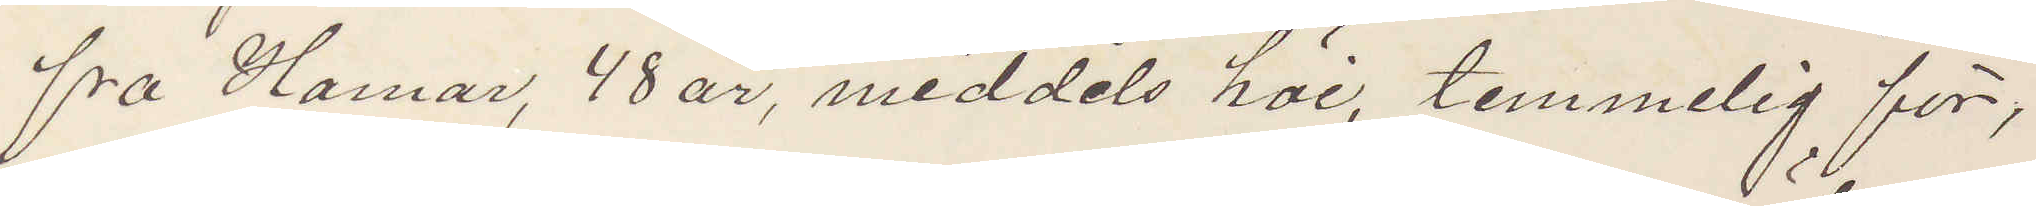fra Hamar, 48 år, middels höe, temmelig för,
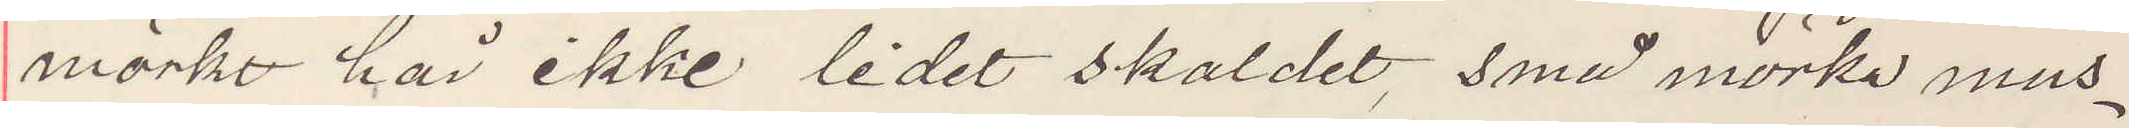mörkt hår ikke lidet skaldet, små mörka mus¬
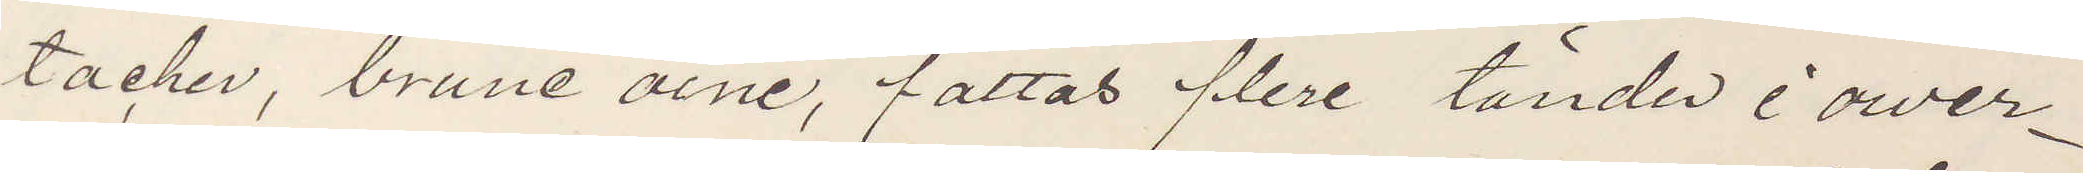tacher, brune öine, fattas flere tänder i ower¬
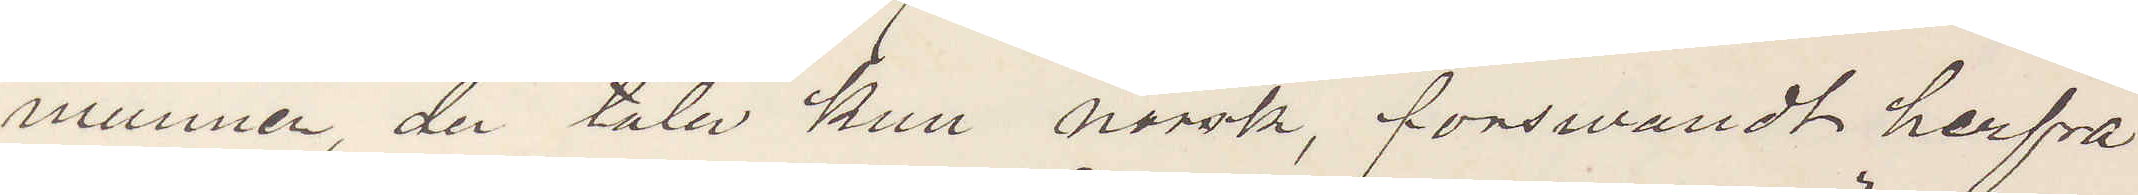munnen, der tala kun norsk, förswandt herfra
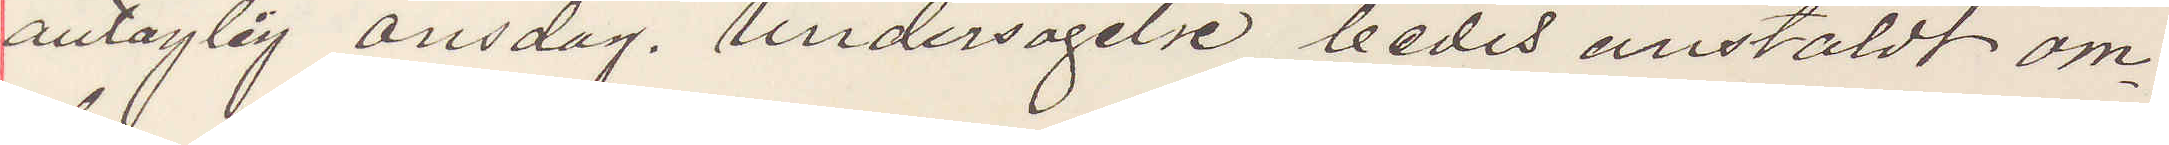antaglig onsdag, undersögelse bedes anstäldt om
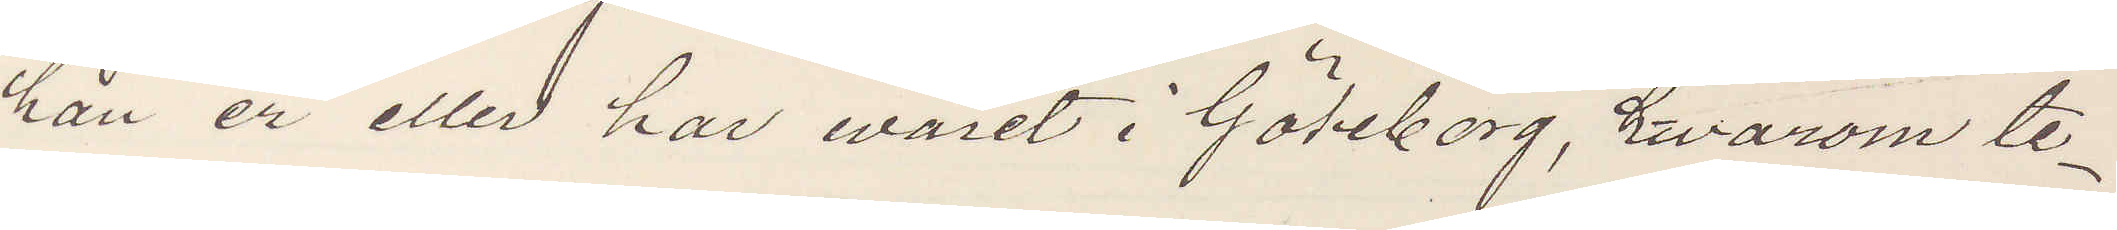han er eller har varit i Göteborg, hwarom te¬
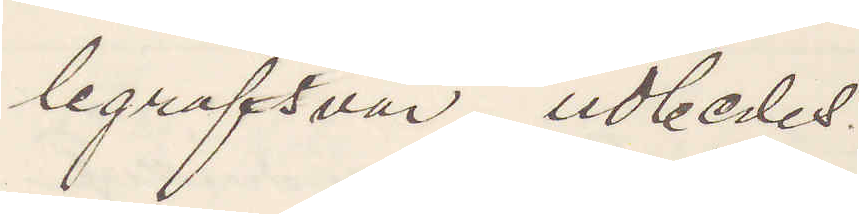legrafsvar udbedes.
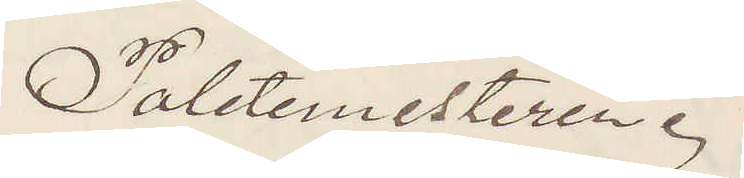Poletimesteren.
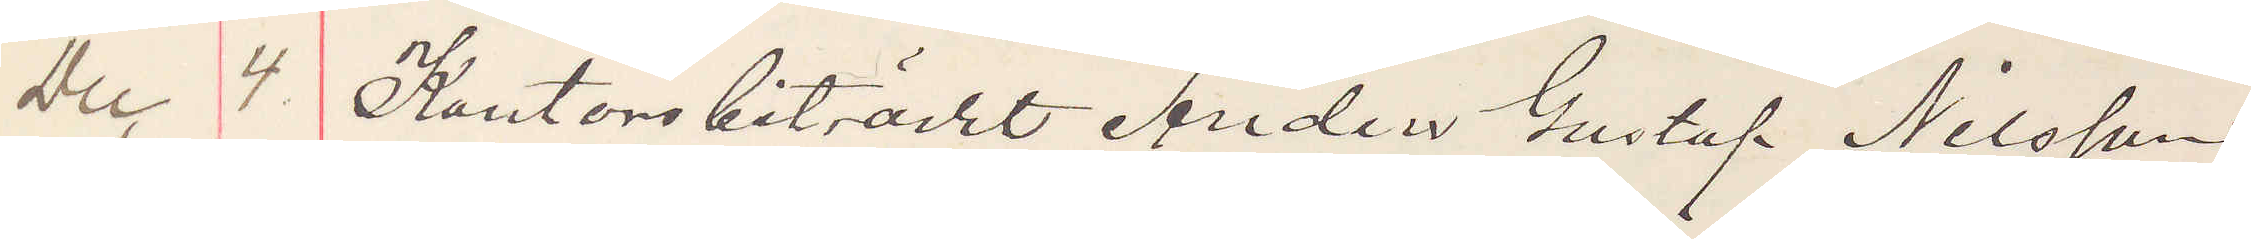Dec 4. Kontorsbiträdet Anders Gustaf Nilsson,
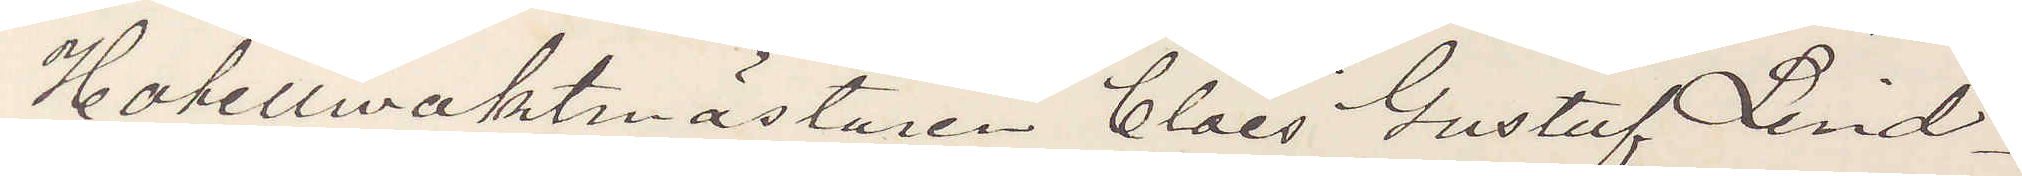Hotellwaktmästaren Claes Gustaf Lind¬
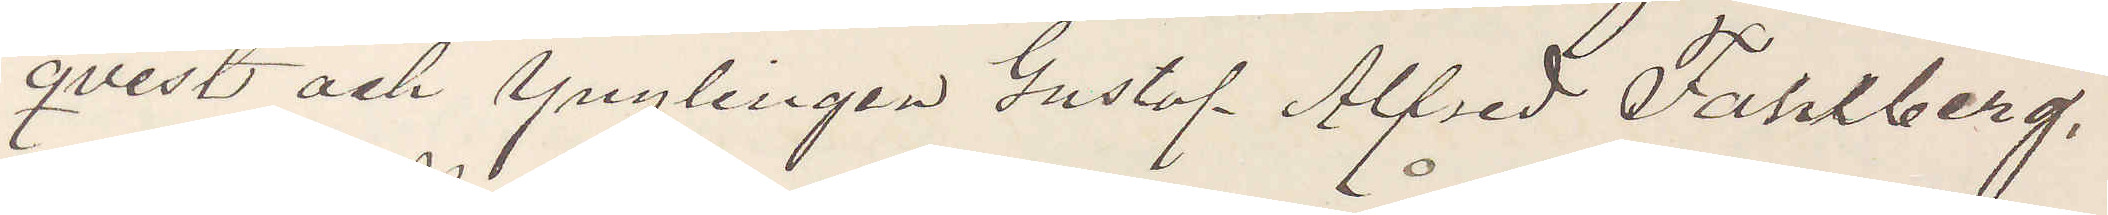qvist och Ynglingen Gustaf Alfred Fahlberg,
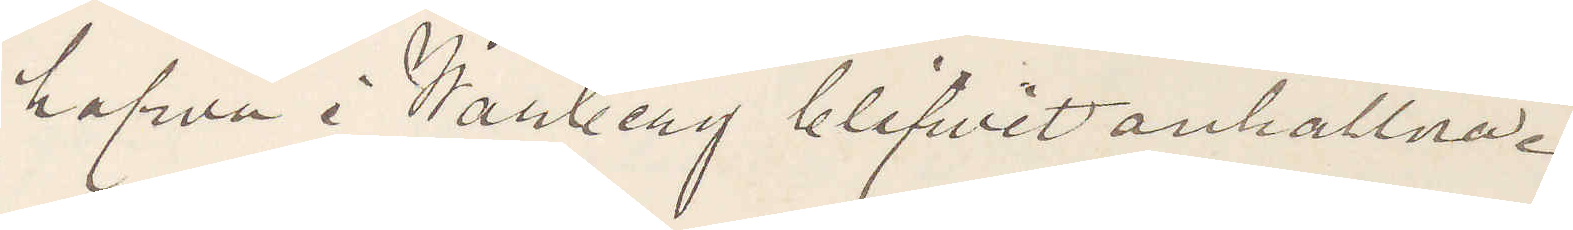hafva i Warberg blifvit anhållna.
